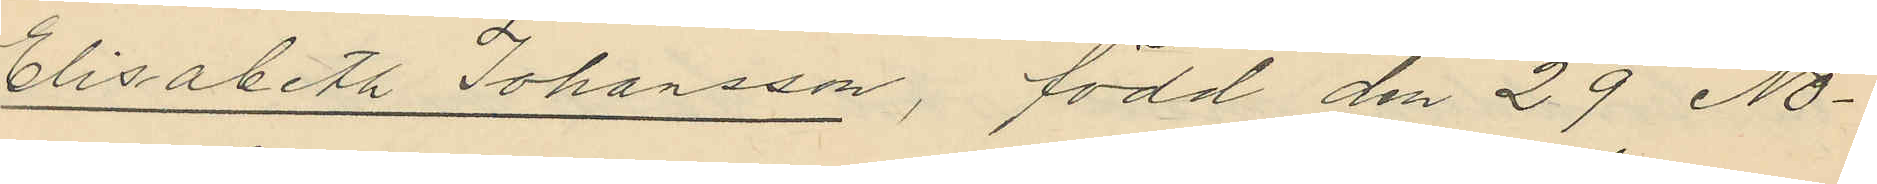Elisabeth Johansson, född den 29 No¬
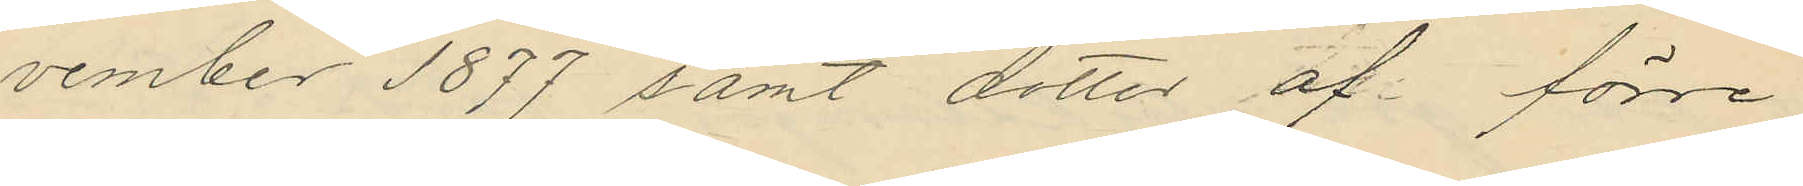vember 1877 samt dotter af förre
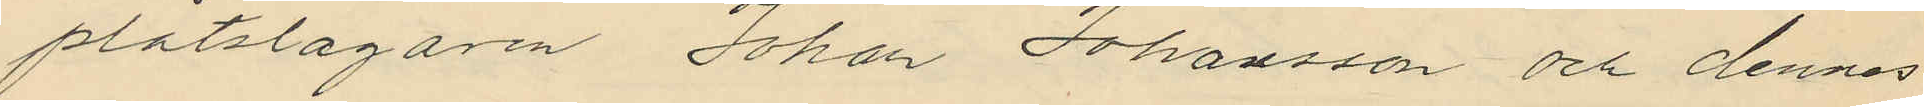plåtslagaren Johan Johansson och dennes
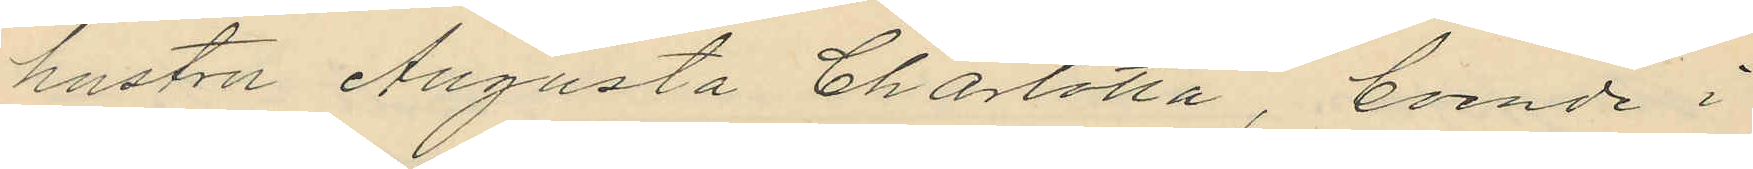hustru Augusta Charlotta, boende i
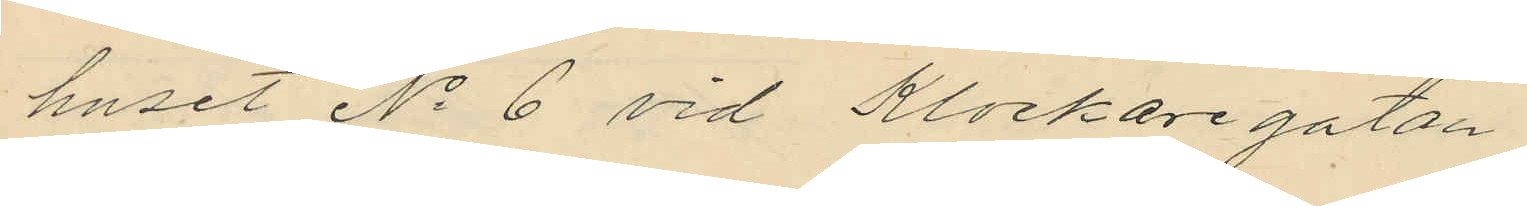huset No 6 vid Klockaregatan
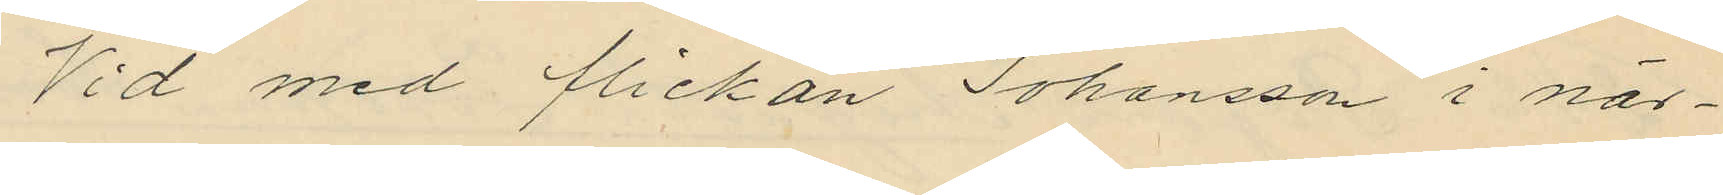Vid med flickan Johansson i när¬
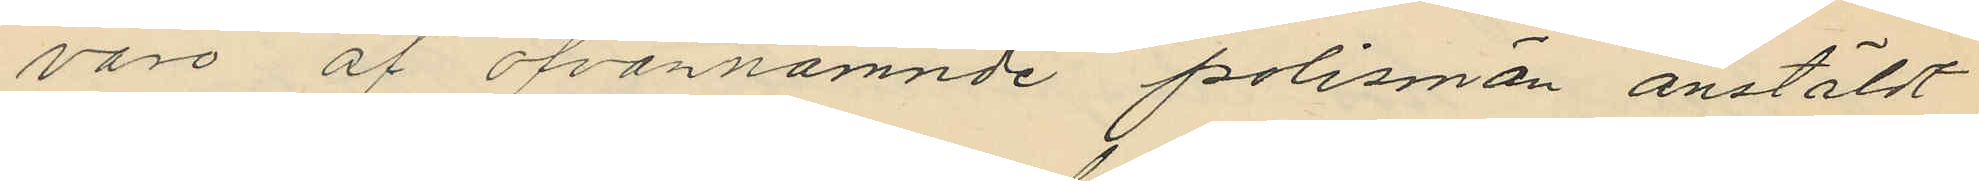varo af ofvannämnde polismän anstäldt
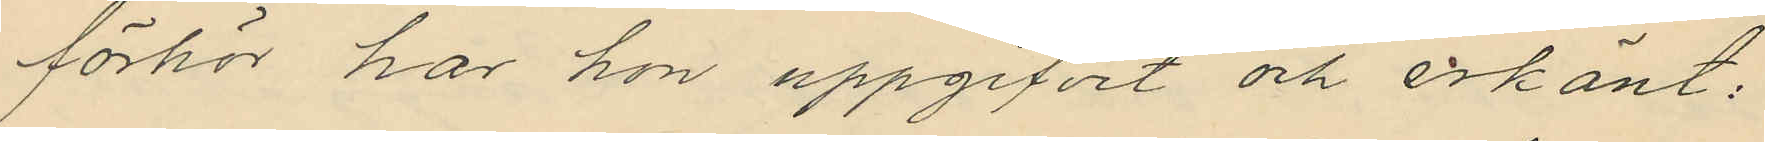förhör har hon uppgifvit och erkänt:
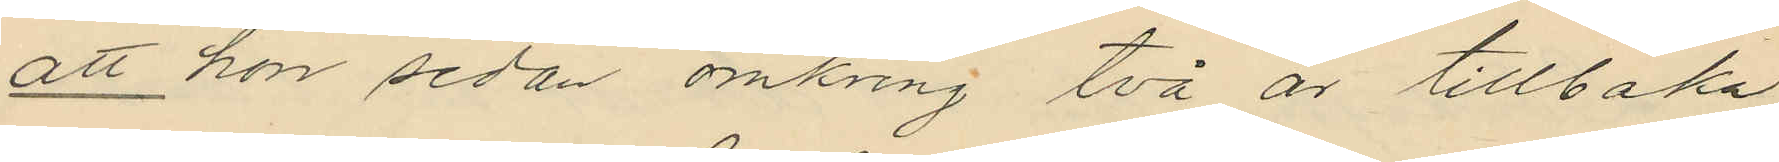att hon sedan omkring två år tillbaka
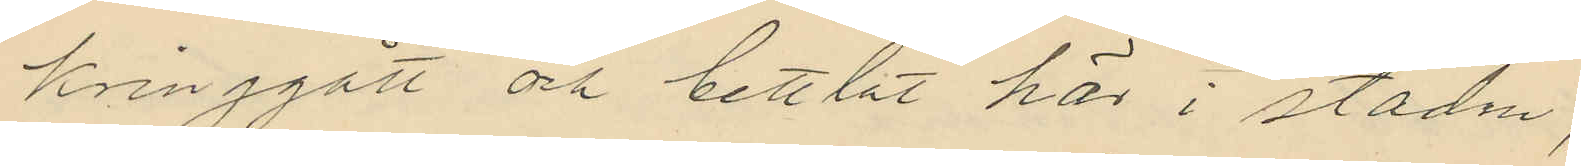kringgått och bettlat här i staden;
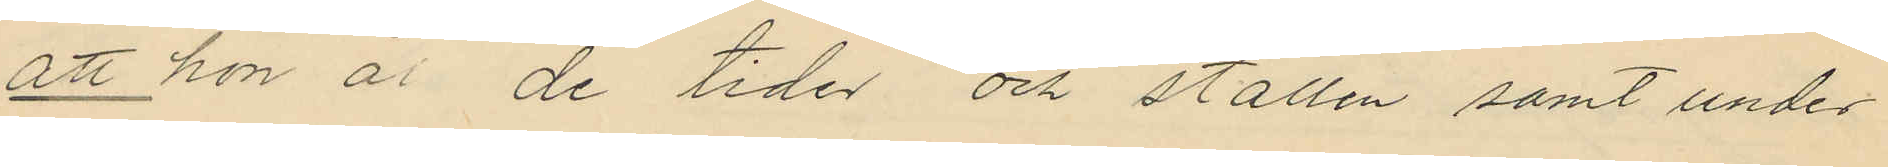att hon å de tider och ställen samt under
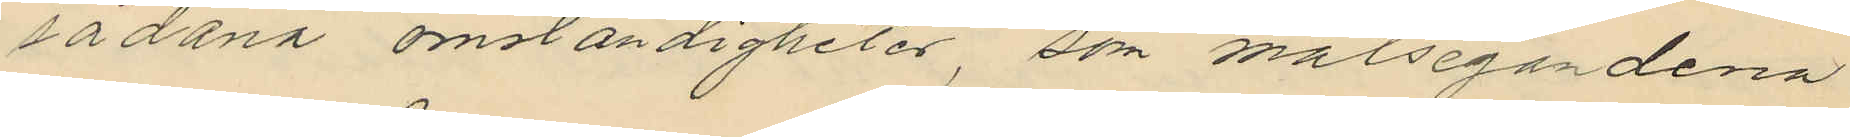sådana omständigheter, som målsegandena
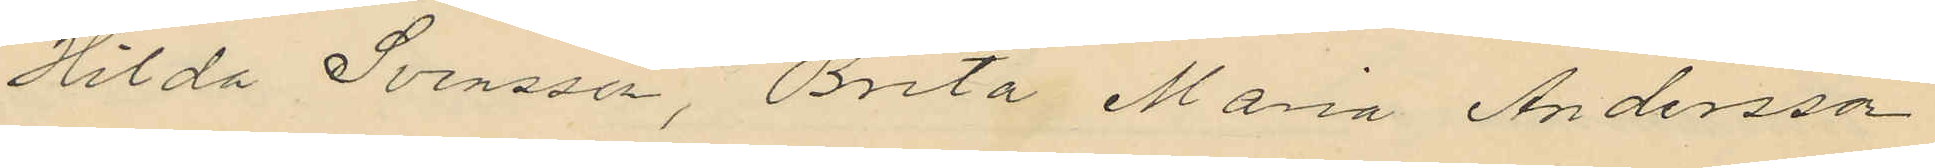Hilda Svensson, Brita Maria Andersson
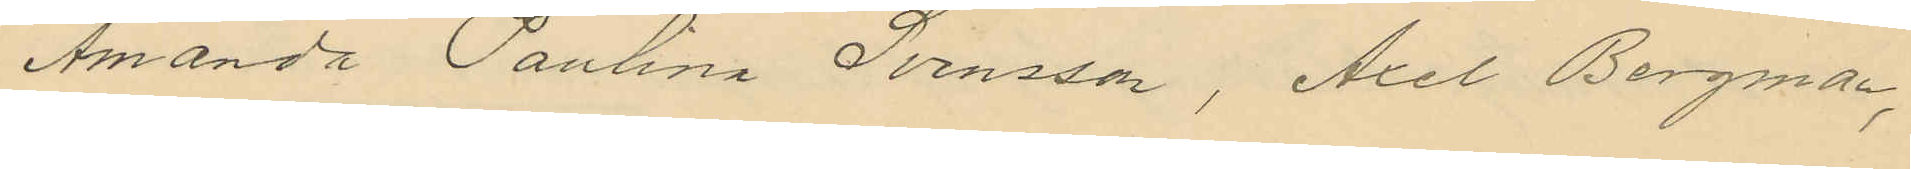Amanda Paulina Svensson, Axel Bergman,
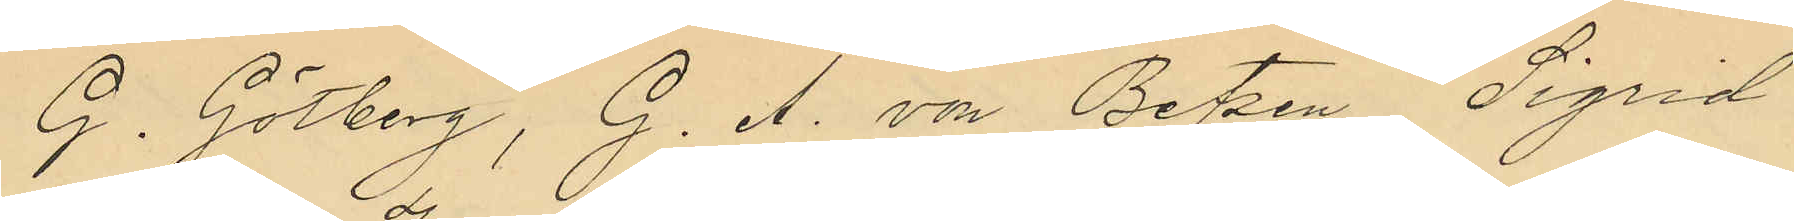G. Götberg, G. A. von Betzen Sigrid
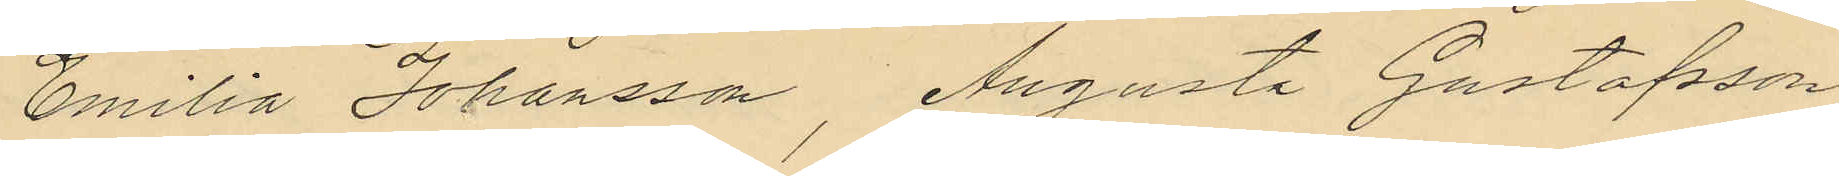Emilia Johansson, Augusta Gustafsson
